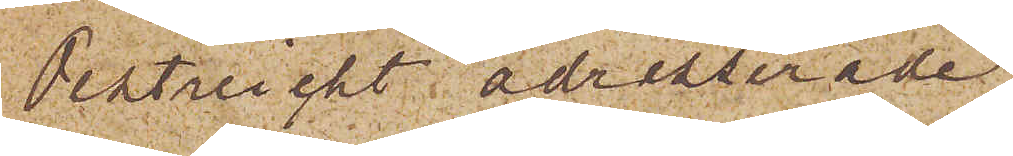Oestreicht adresserade
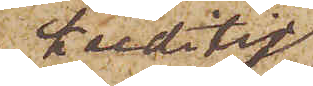kreditiv¬
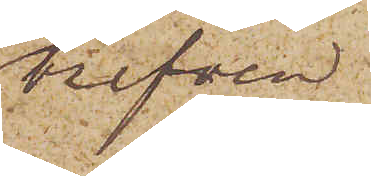brefven.
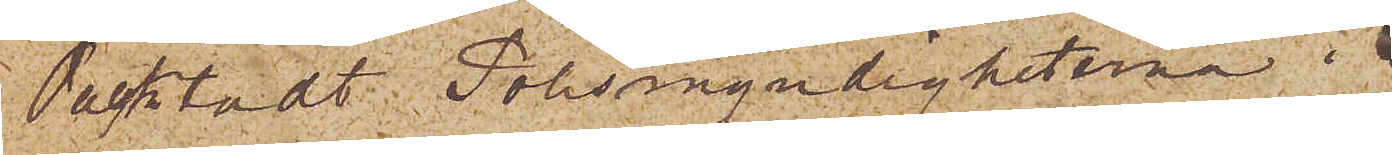Oacktadt Polismyndigheterna i
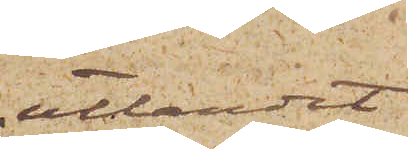utlandet
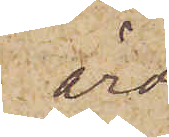äro
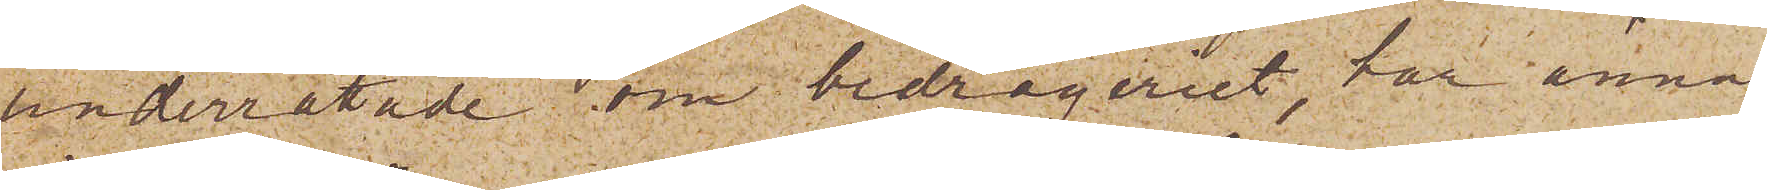underrättade om bedrägeriet, har ännu
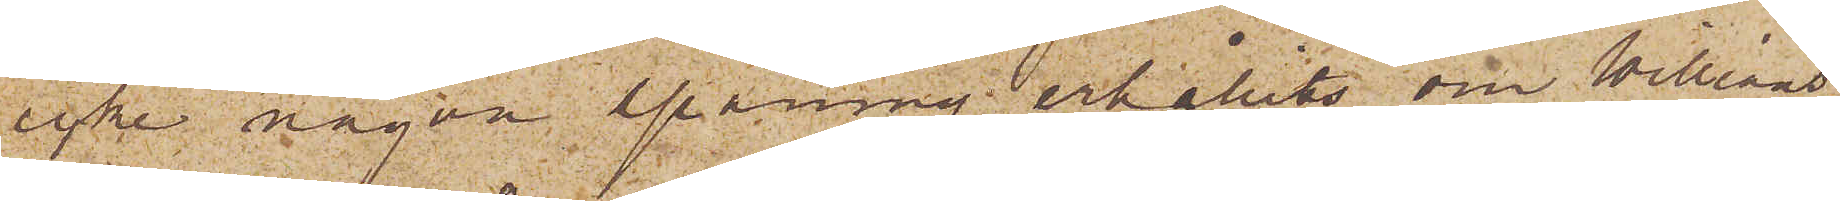icke någon spaning erhållits om Williams,
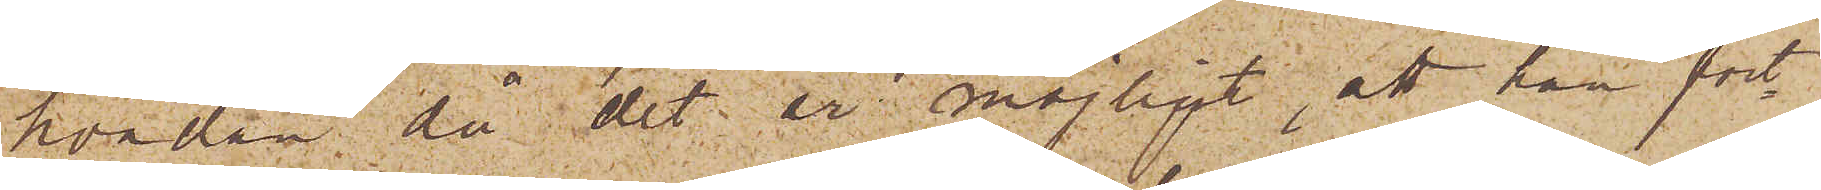hvadan då det är möjligt, att han fort¬
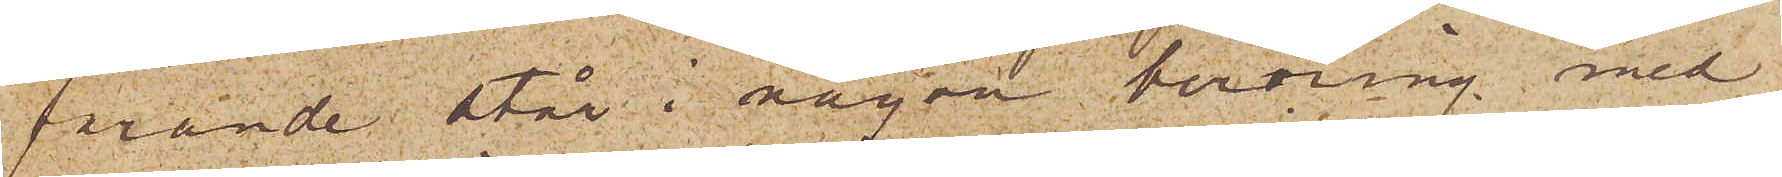förande står i någon beröring med
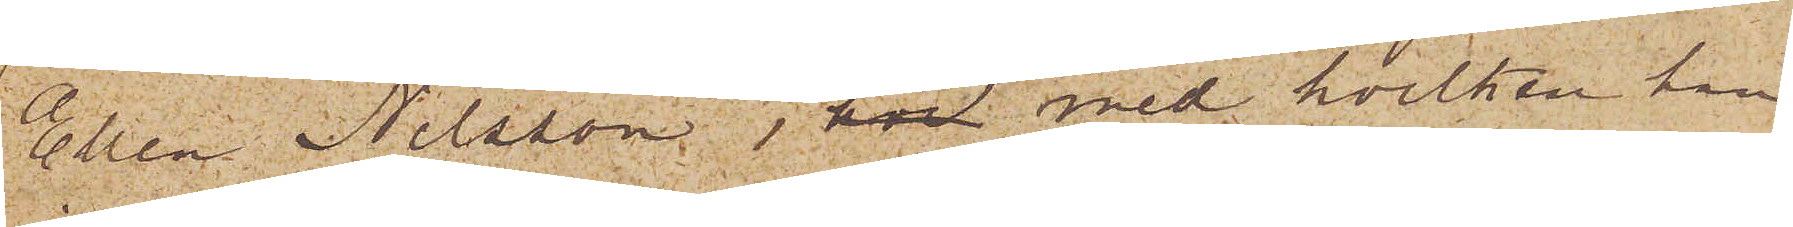Ellen Nilsson, hos med hvilken han
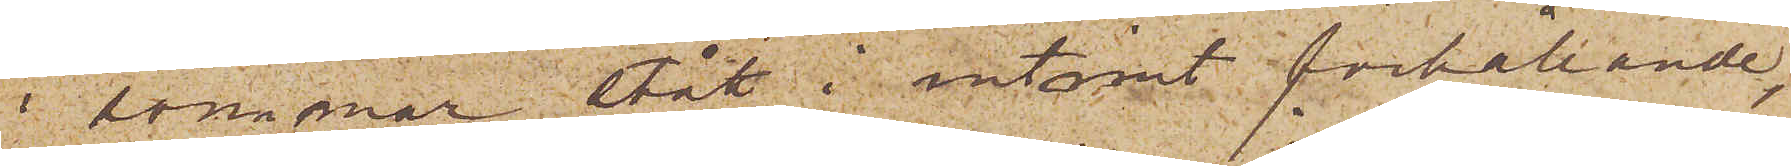i sommar stått i intimt förhållande,
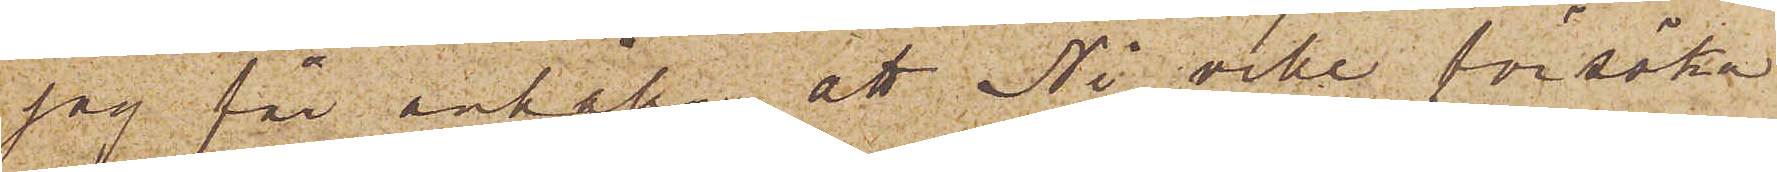jag får anhålla, att Ni ville försöka
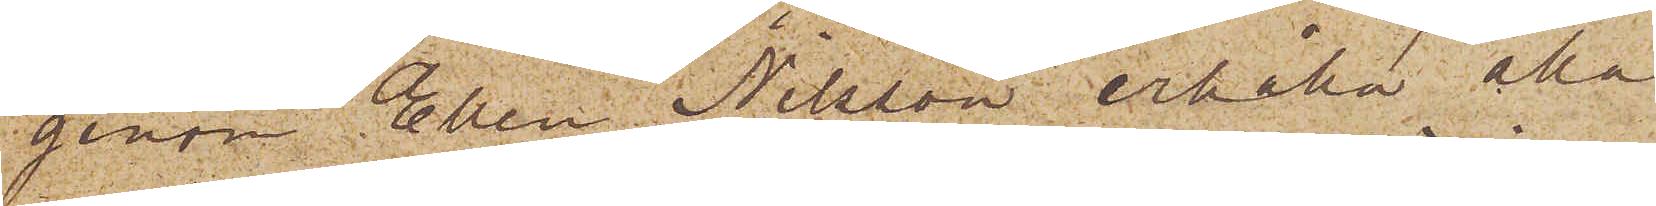genom Ellen Nilsson erhålla alla
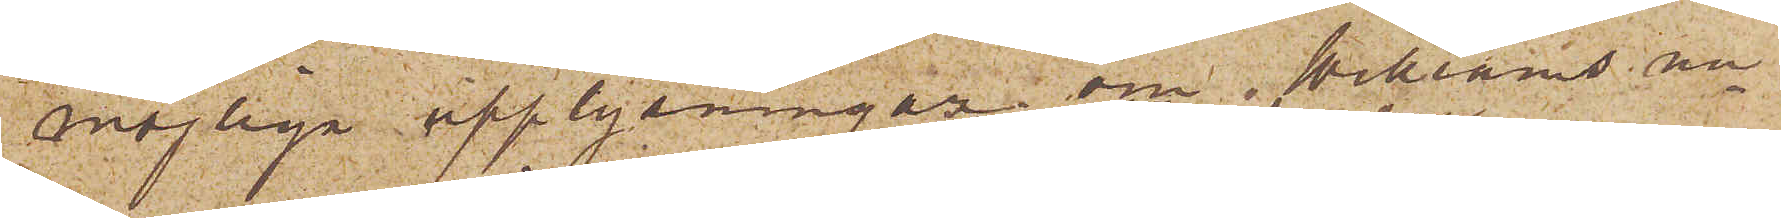möjliga upplysningar om Williams nu¬
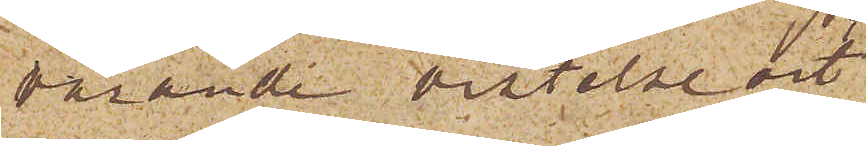varande vistelseort
